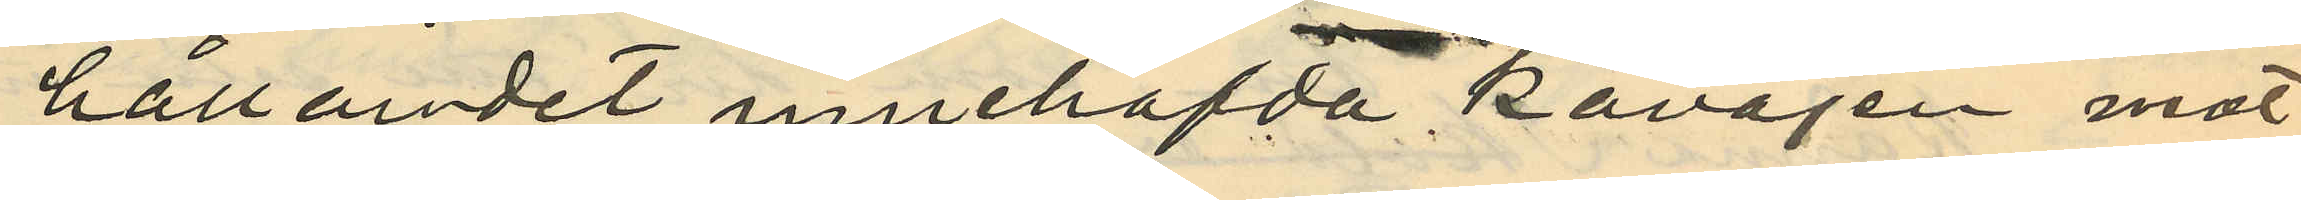hållandet innehafda Kavajen mot
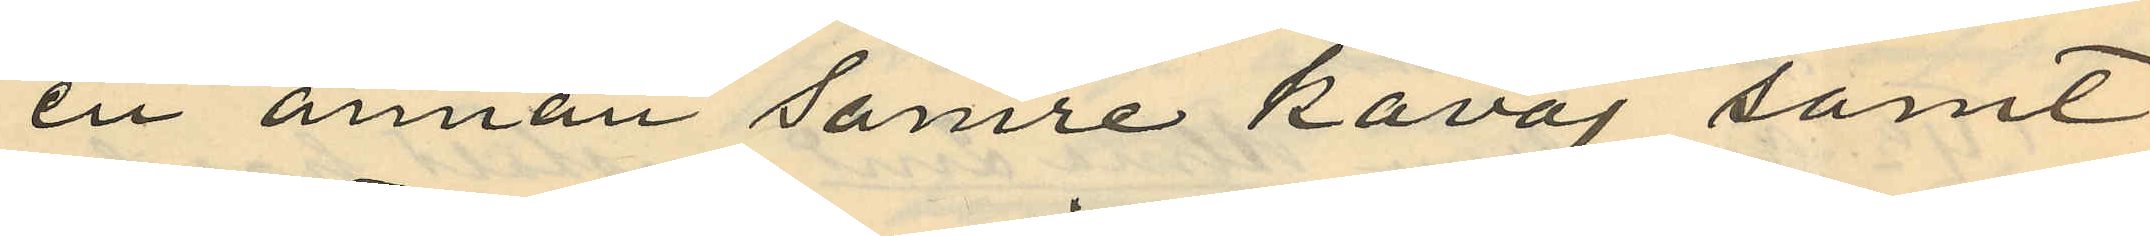en annan sämre kavaj samt
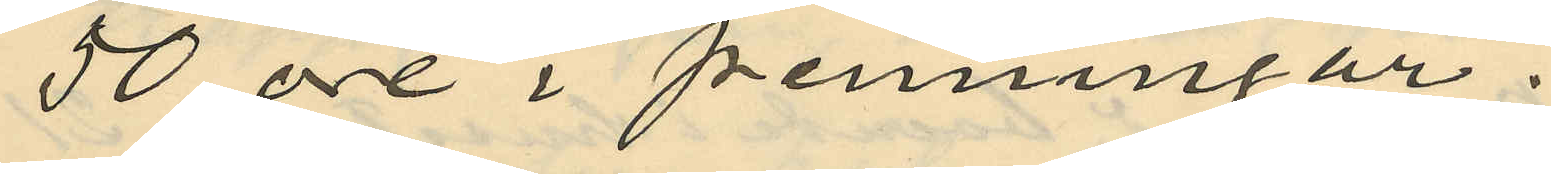50 öre i penningar.
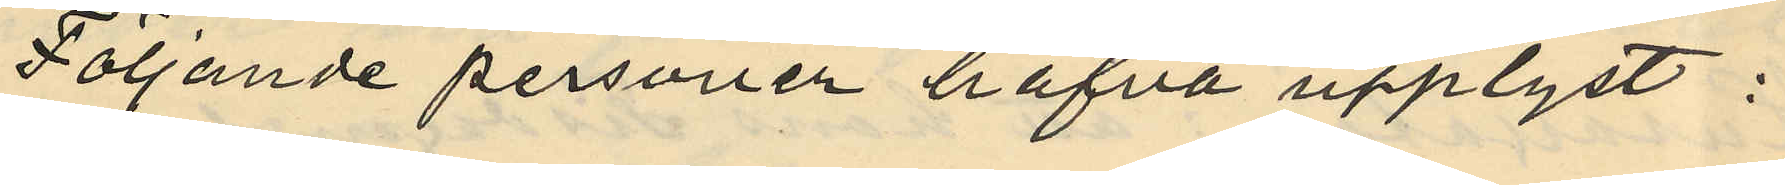Följande personer hafva upplyst:
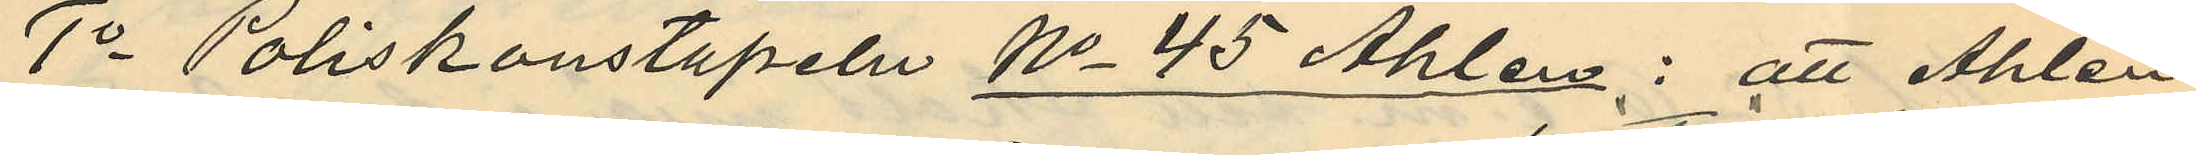1o Poliskonstapeln No 45 Åhlen: att Åhlén
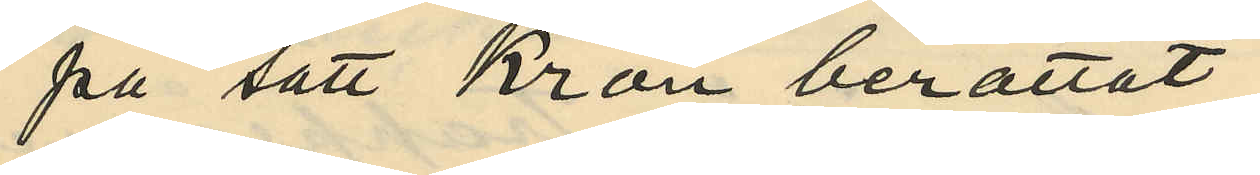på sätt Kron berättat
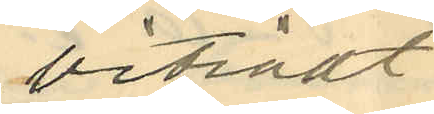biträdt
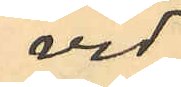vid
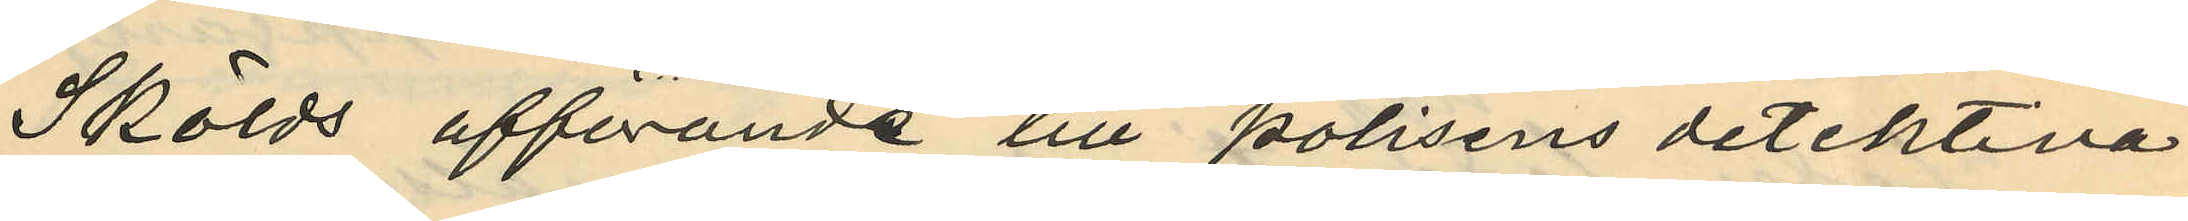Skölds afförande till polisens detektiva
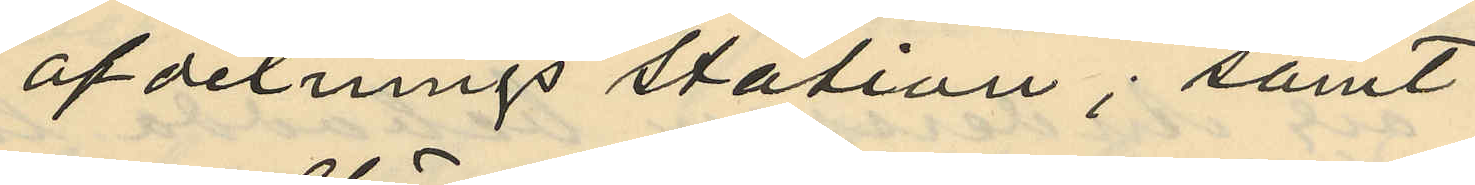afdelningsstation; samt
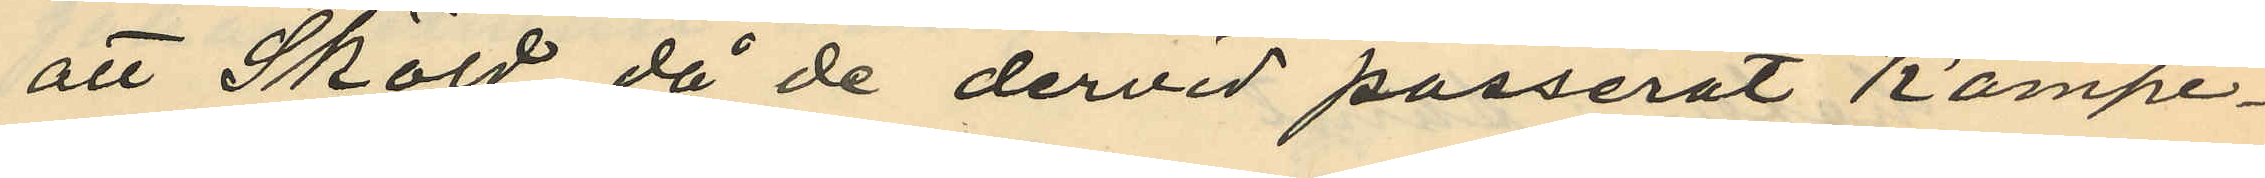att Sköld, då de dervid passerat Kämpe¬
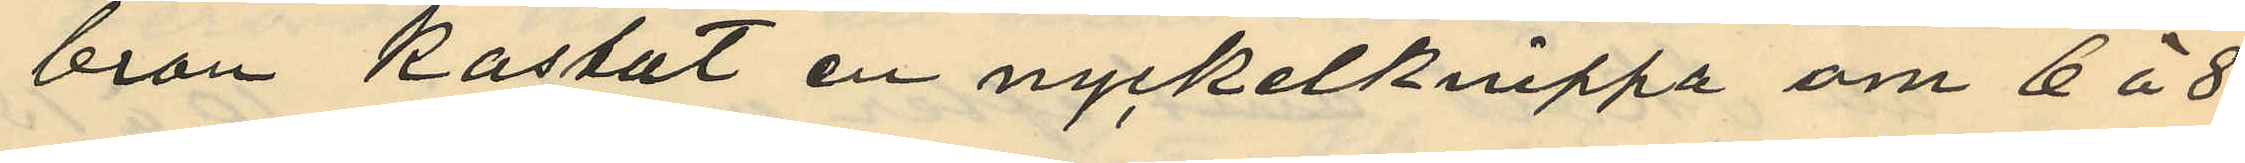bron kastat en nyckelknippa om 6 á 8
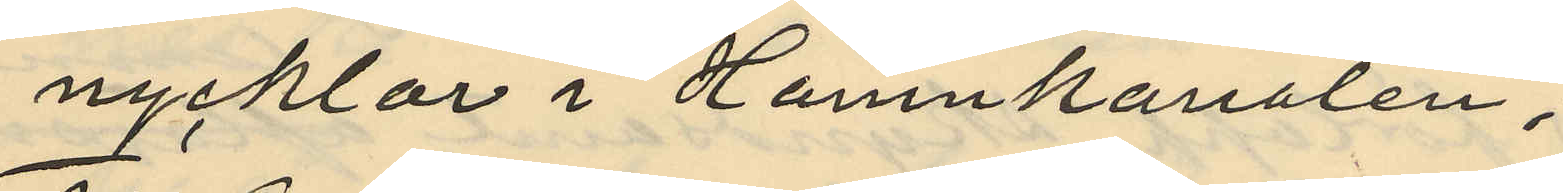nycklar i Hamnkanalen,
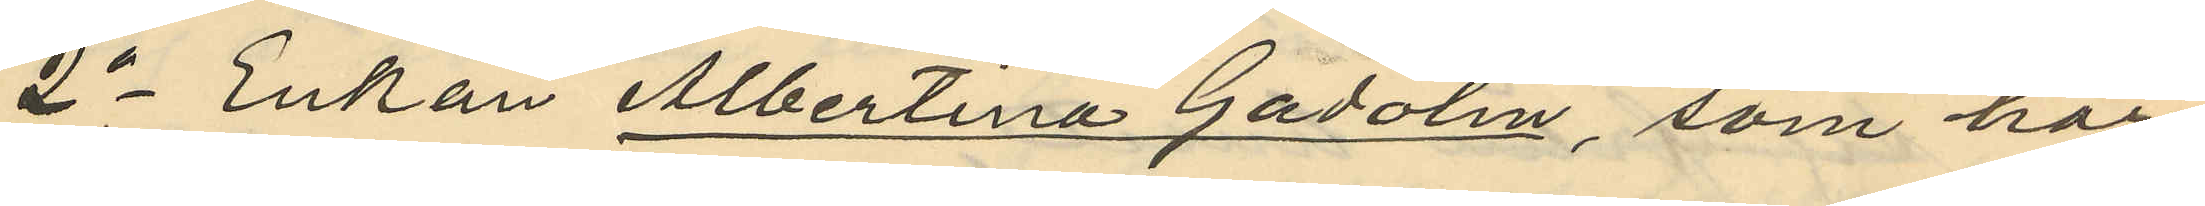2o Enkan Albertina Gadolin, som har
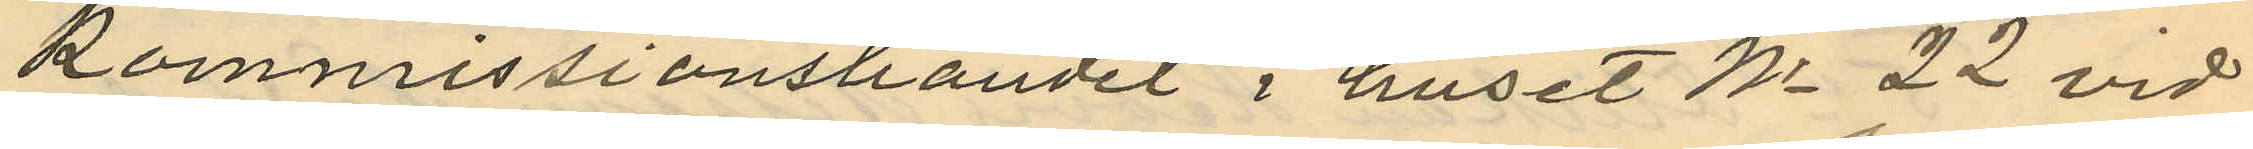Kommissionshandel i huset No 22 vid
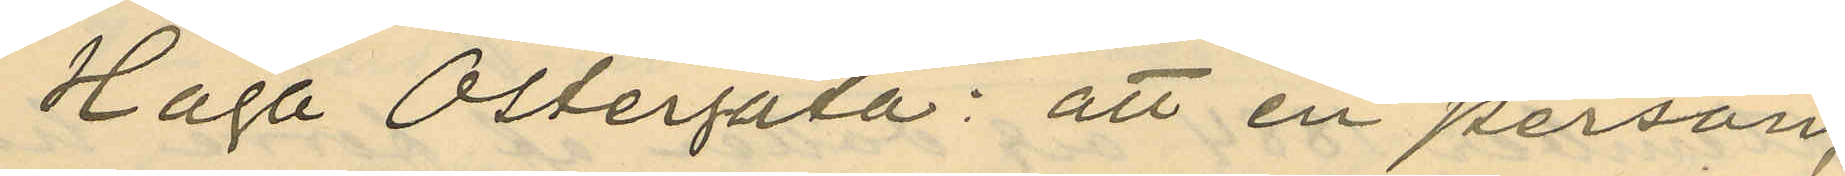Haga Östergata: att en person,
